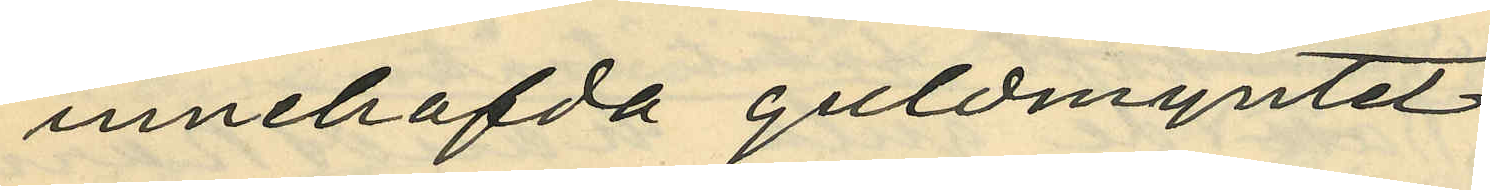innehafda guldmyntet
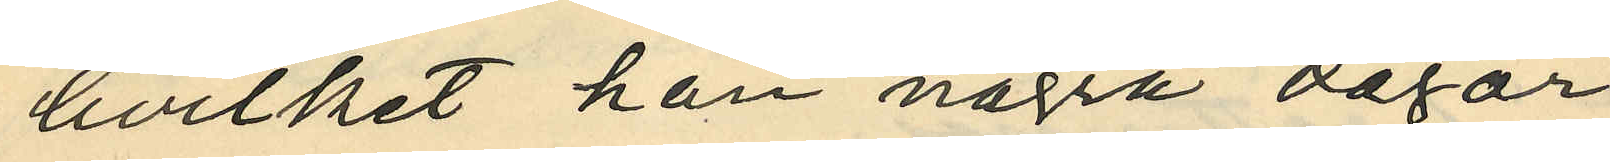hvilket han några dagar
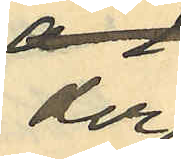der¬
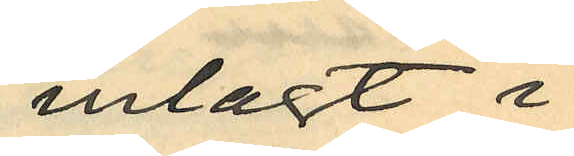inlagt i
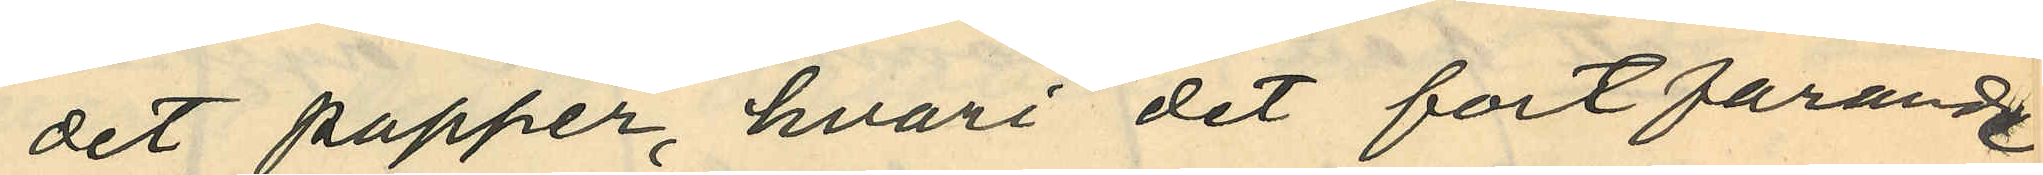det papper, hvari det fortfarande
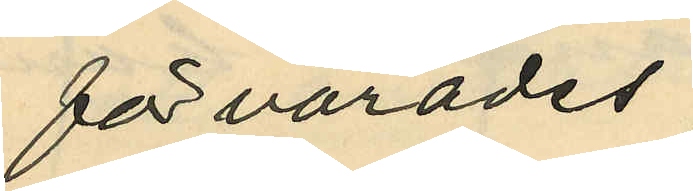förvarades;
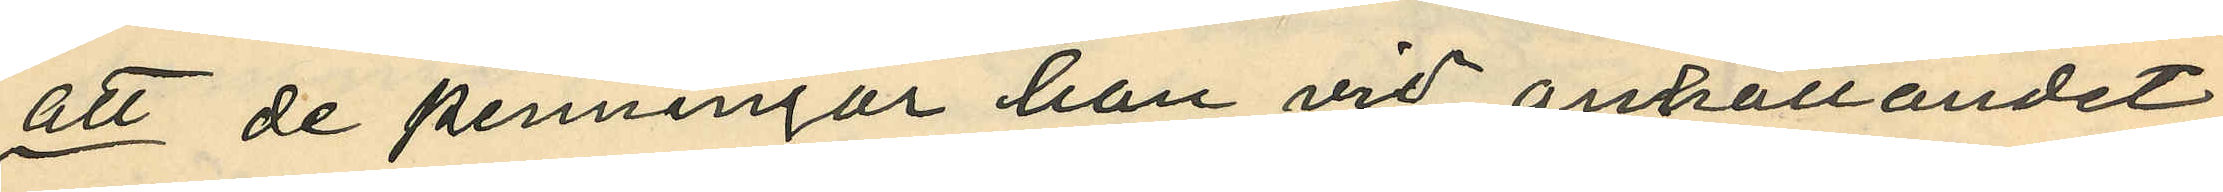att de penningar han vid anhållandet
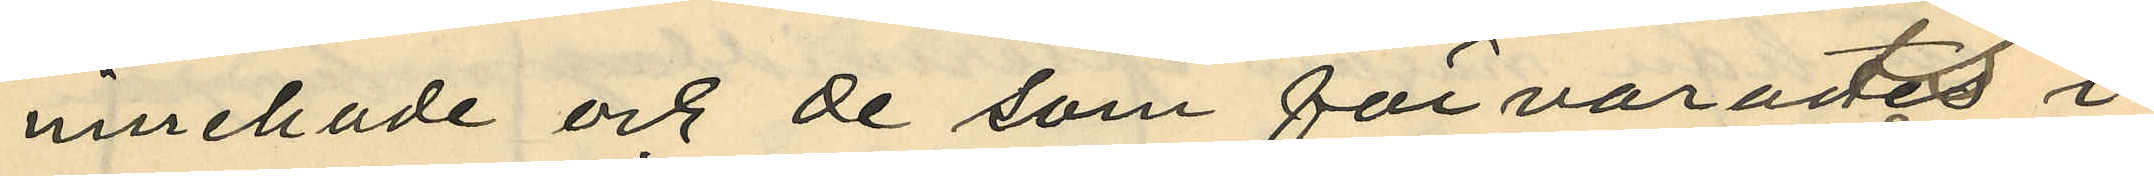innehade och de som förvarades i
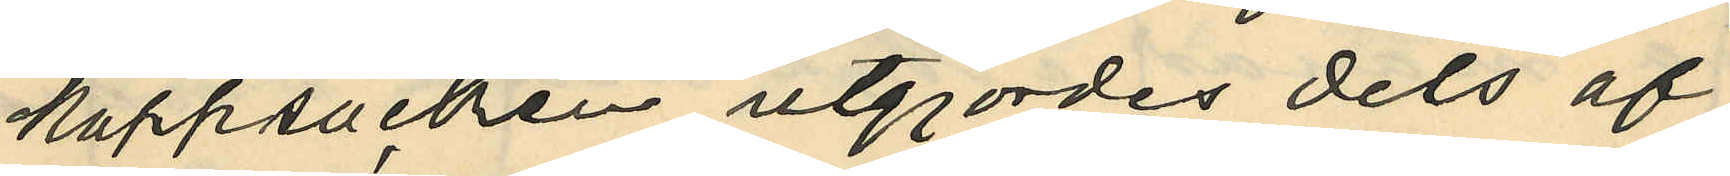kappsäcken utgjordes dels af
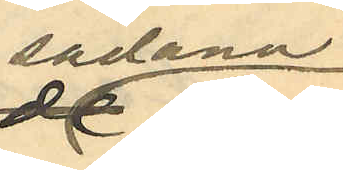sådana
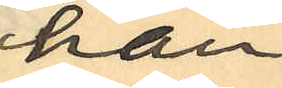han
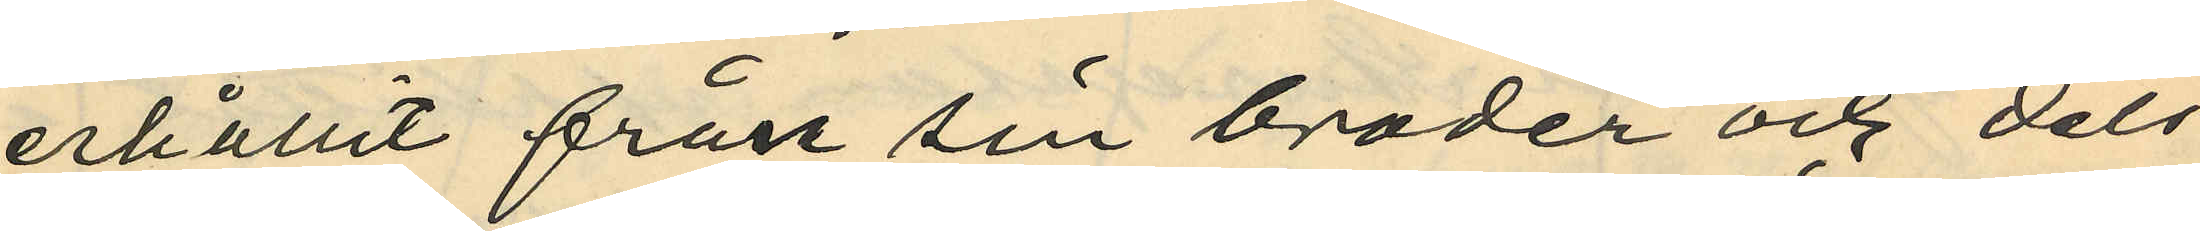erhållit från sin broder och dels
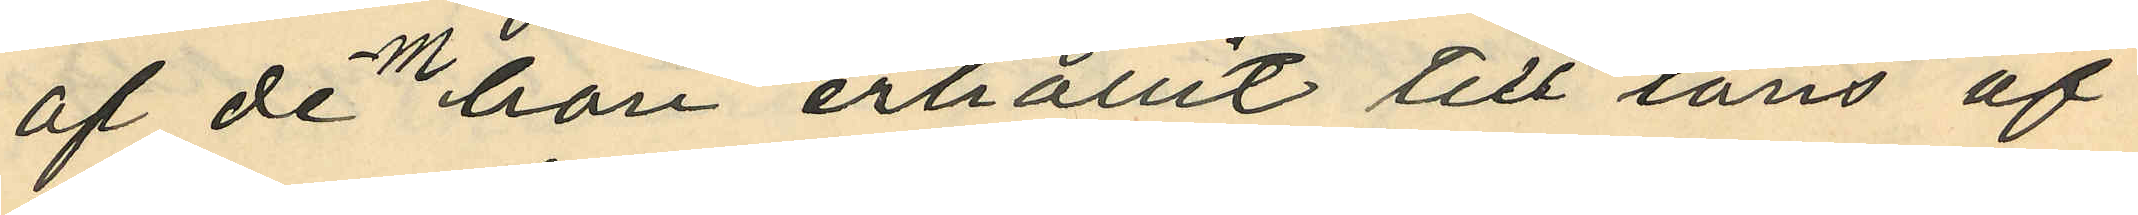af dem han erhållit till låns af
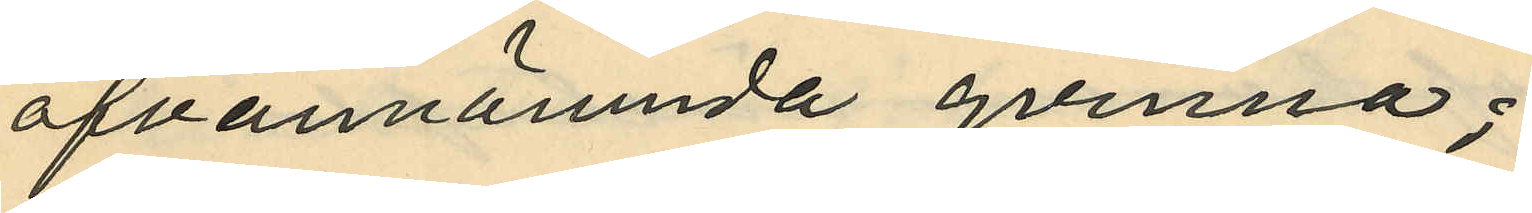ofvannämnda qvinna;
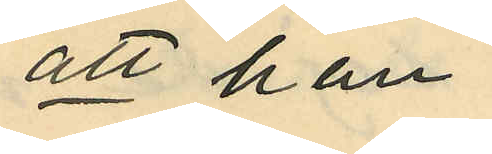att han
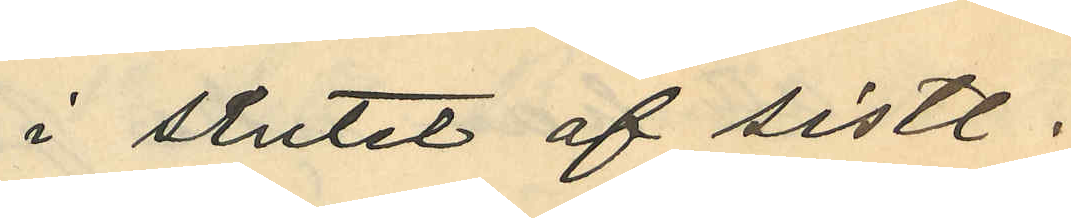i slutet af sistl
